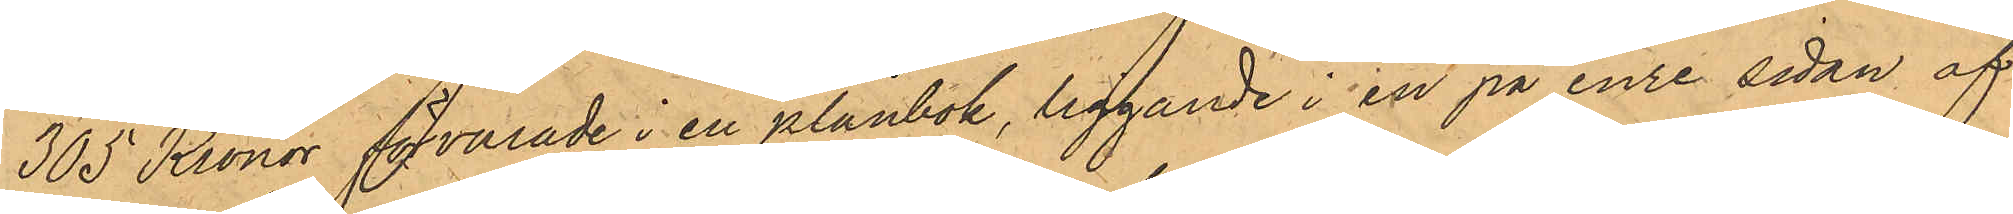305 Kronor förvarade i en plånbok, liggande i en på inre sidan af
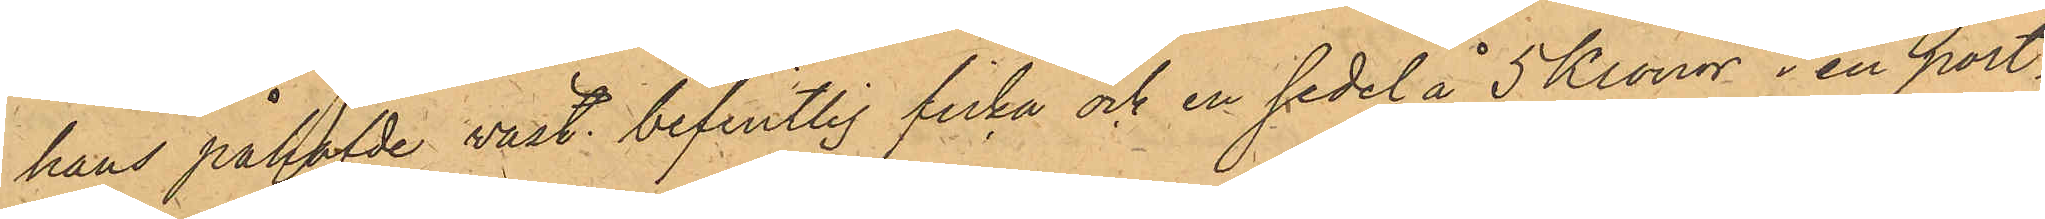hans påhafde väst befintlig ficka och en sedel å 5 Kronor i en port¬
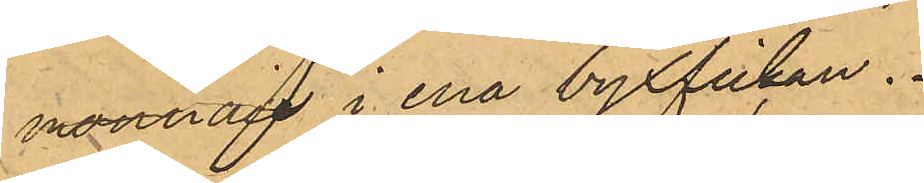monnai i ena byxfickan.
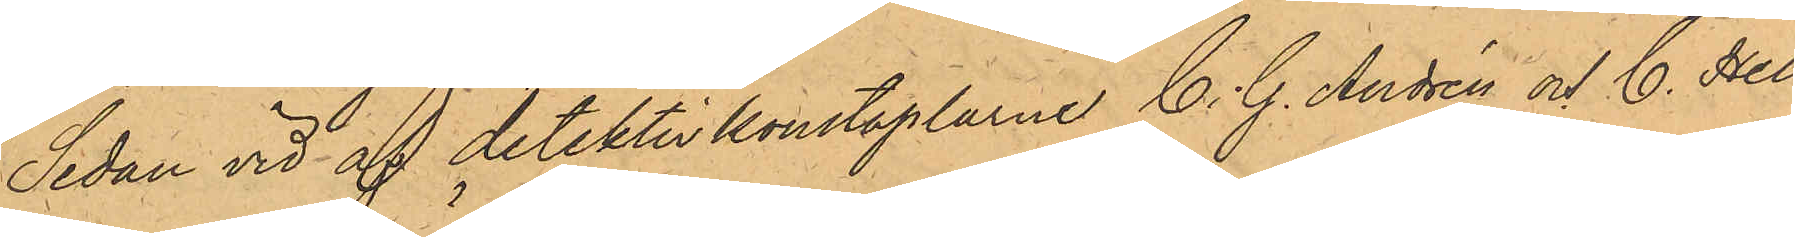Sedan vid af detektivkonstaplarne C. G. Andrén och C. Hell¬
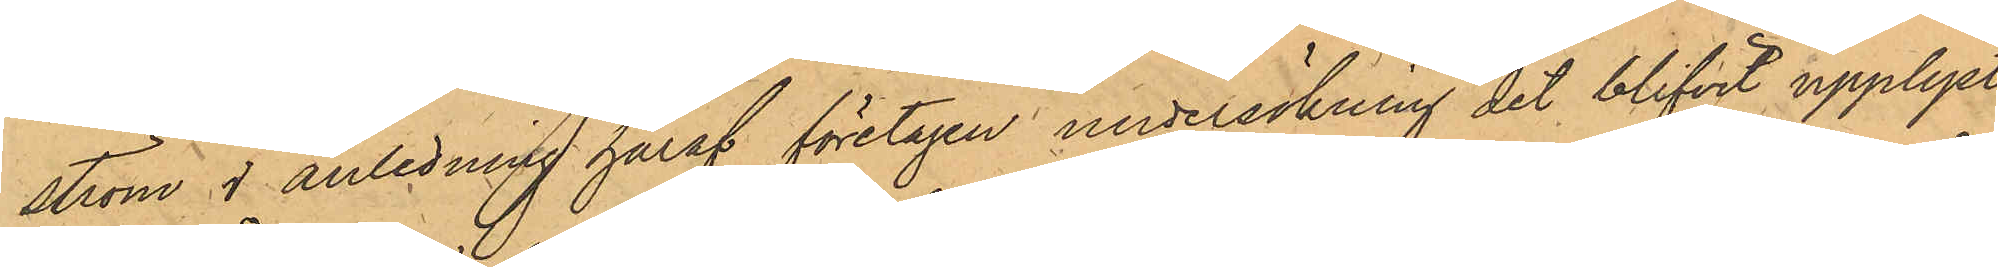ström I anledning häraf företagen undersökning det blifvit upplyst,
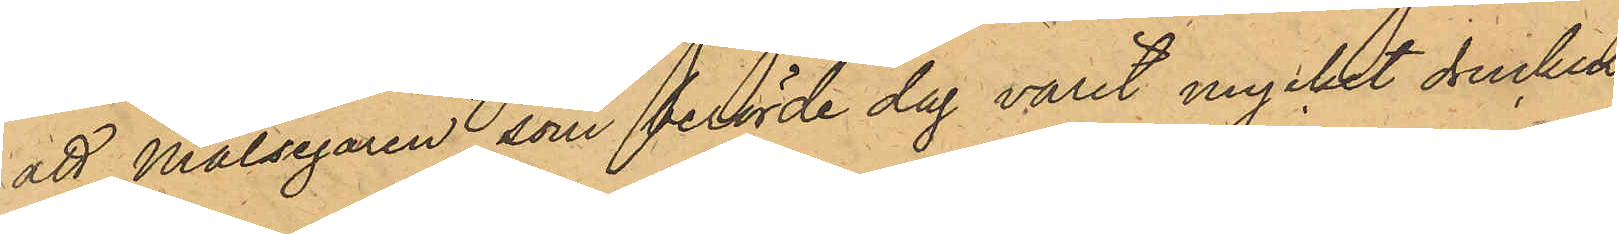att Målsegaren som berörde dag varit mycket drucken.
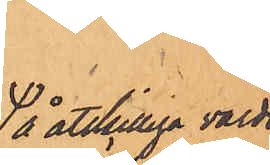å åtskilliga värds¬
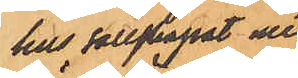hus sällskapat med
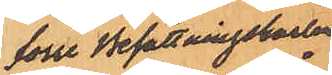förre Besättningskarlen
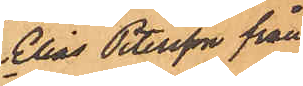Elias Petersson från
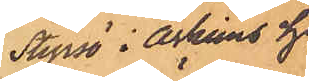Styrsö i Askims hd,
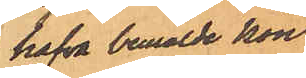hafva bemälde kon¬
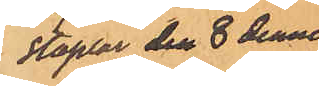staplar den 8 dennes
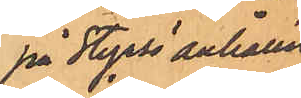på Styrsö anhållit
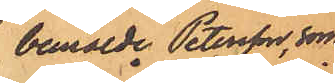bemälde Petersson, som
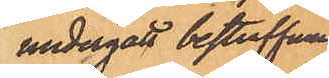undergått bestraffning
